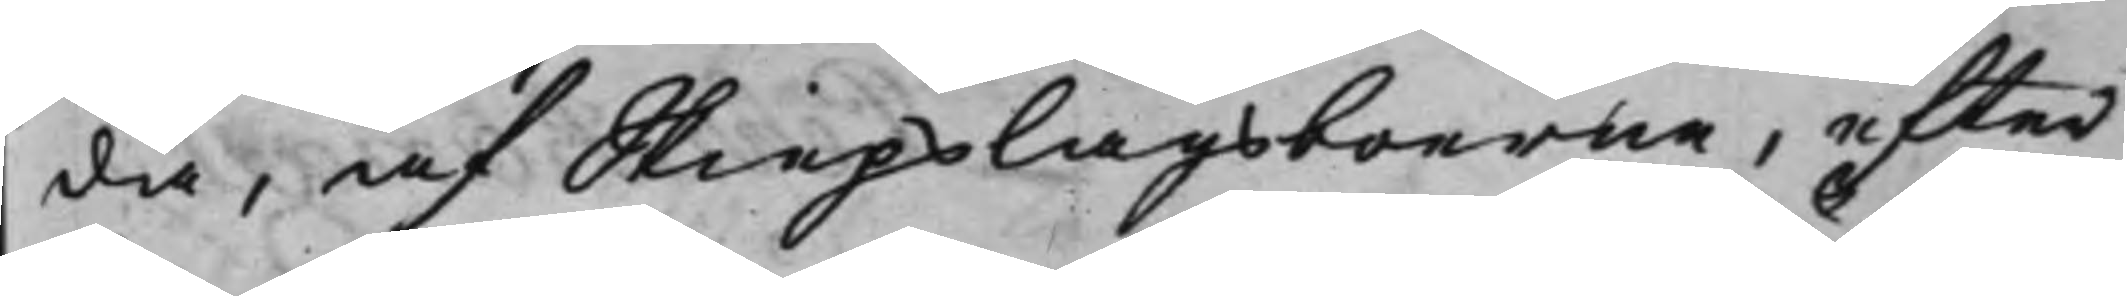da, af Skiepslagsboerna, efter
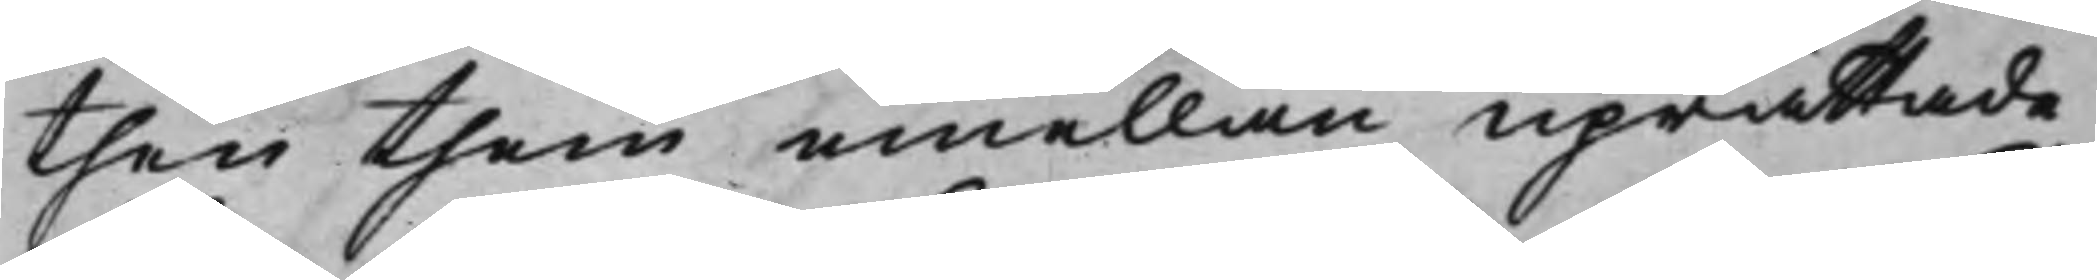then them emellan uprättade
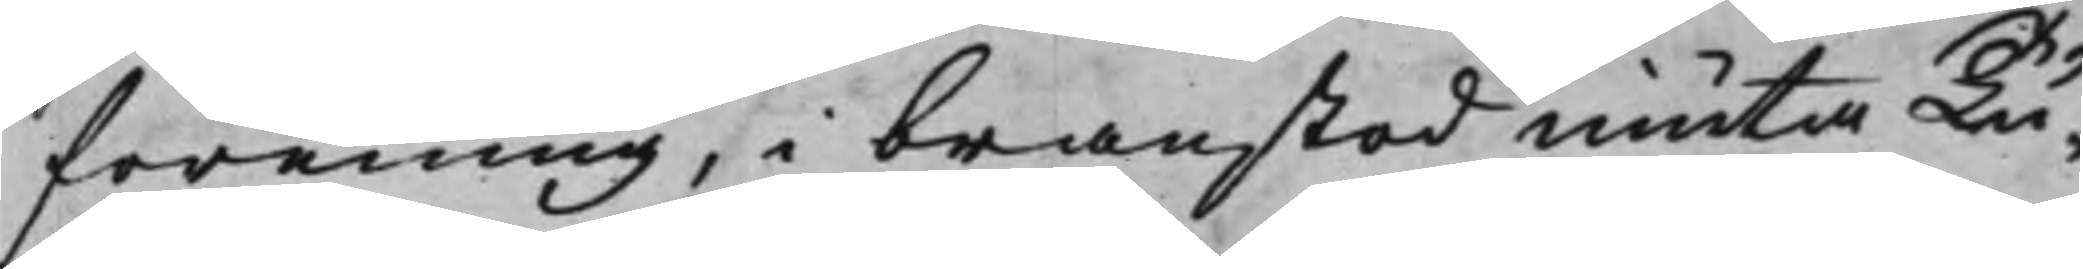förening, i branstod niuta Tu¬
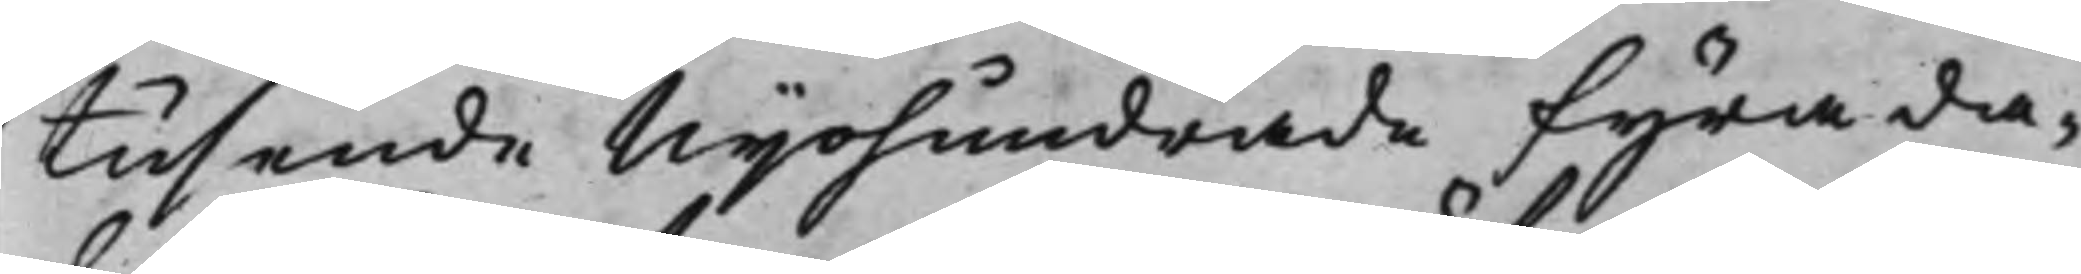tusende Nijohundrade fyra da¬
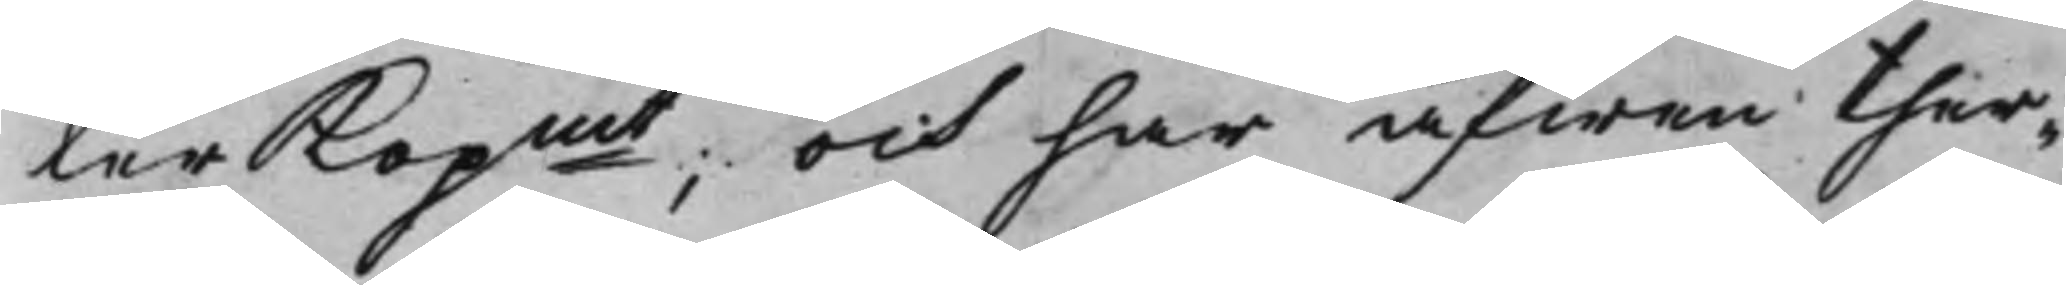ler Kopmt; och har äfwen ther¬
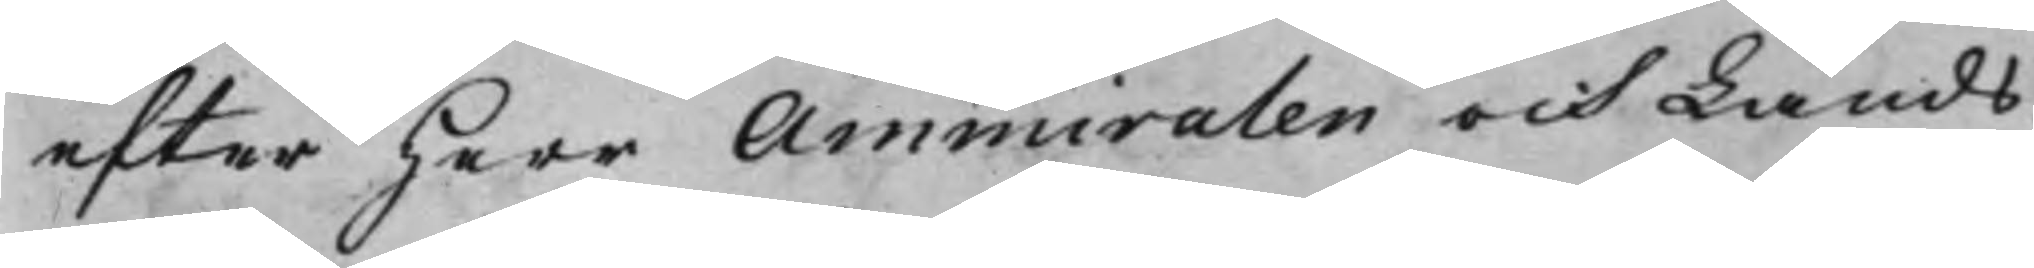efter Herr Ammiralen och Lands¬
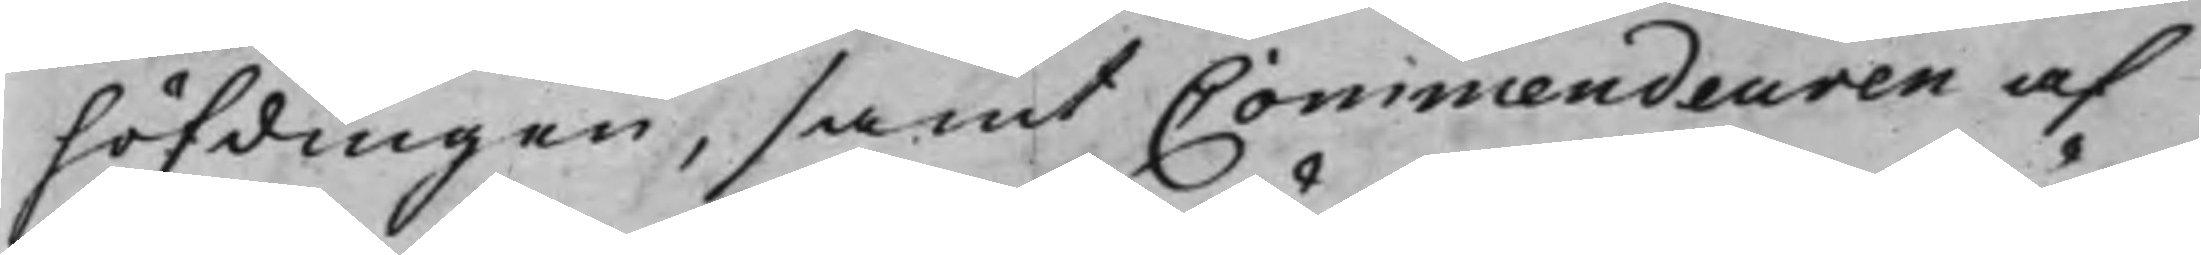höfdingen, samt Commendeuren af
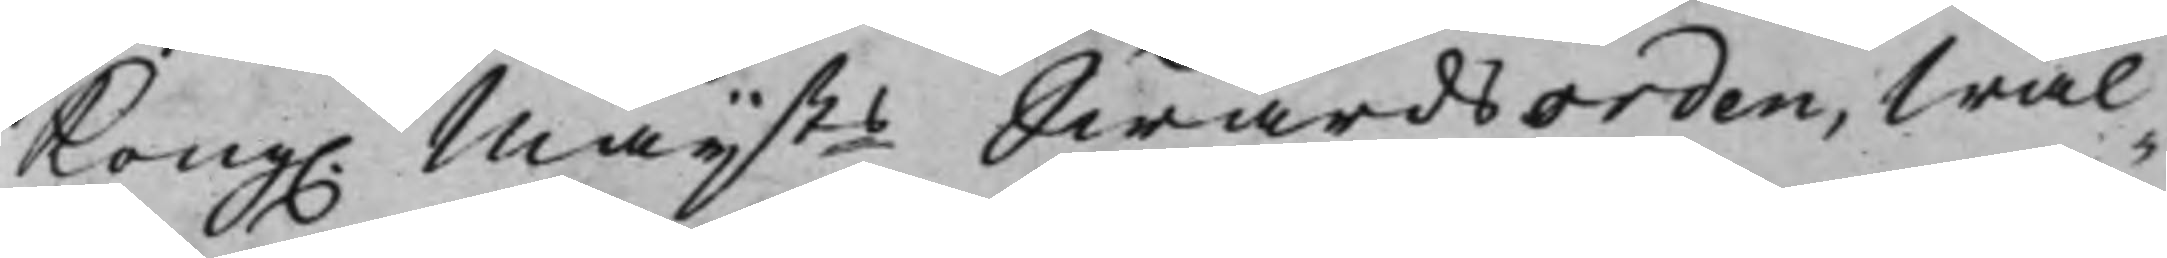Kong. Maijts Swärdsorden, Wäl¬
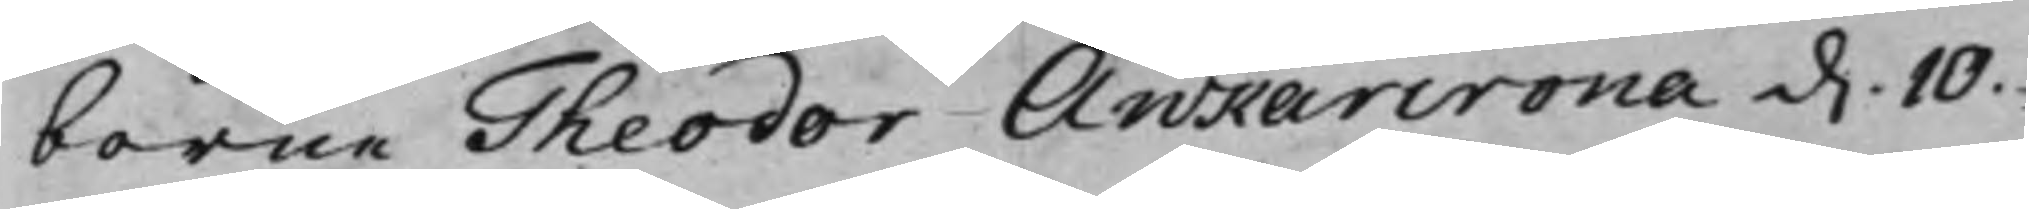borne Theodor Ankarcrona d. 10.
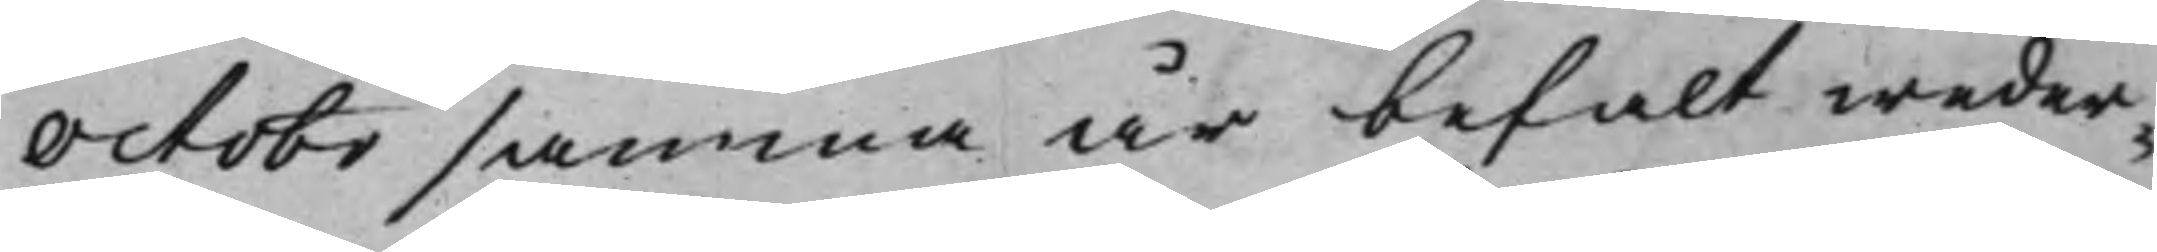Octobr samma år befalt weder¬
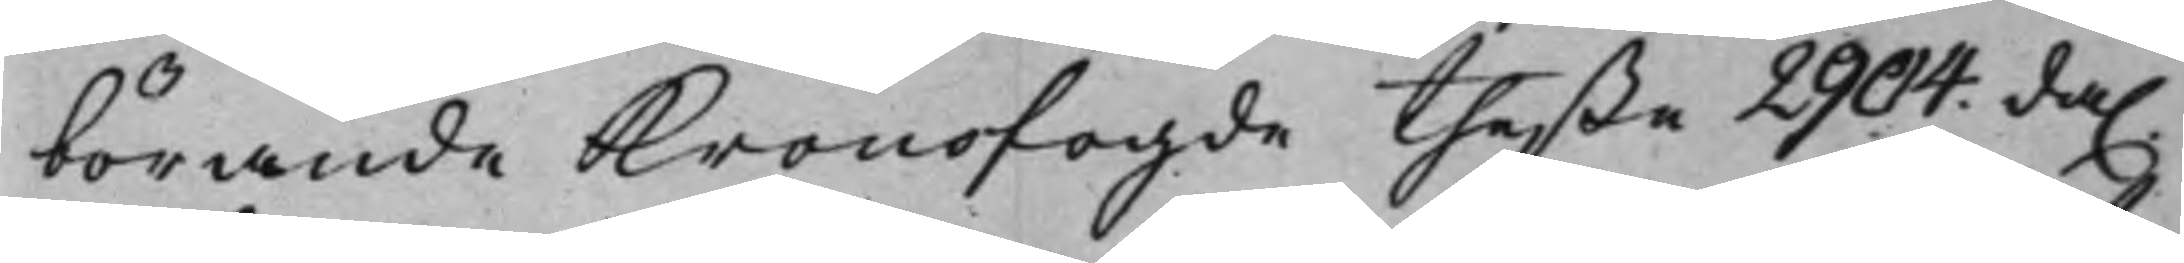börande Kronofogde theße 2904. da.
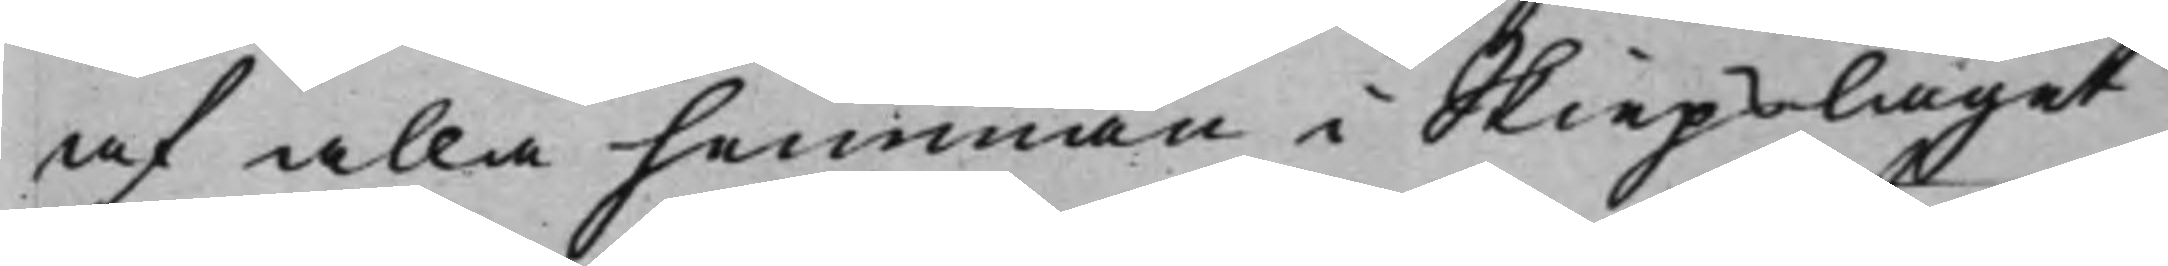af alla hemman i Skiepslaget
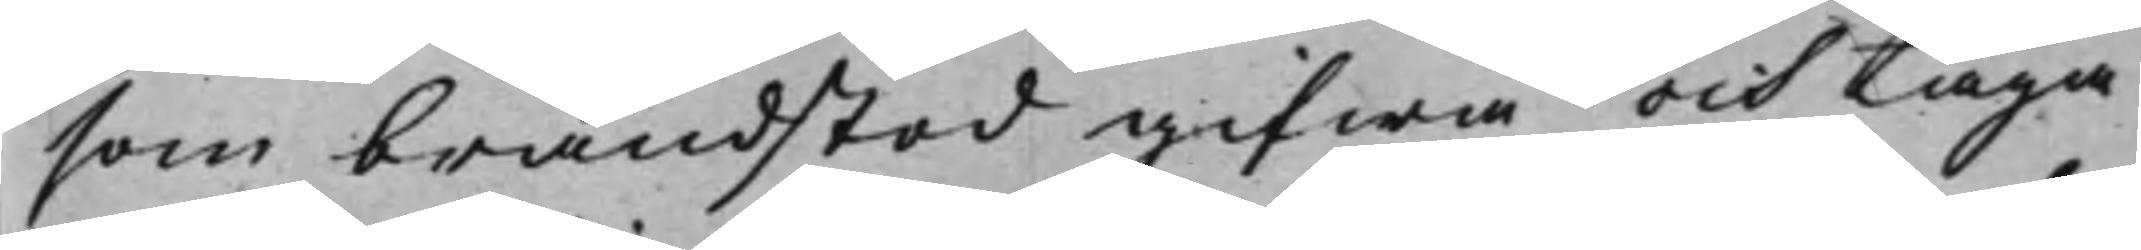som brandstod gifwa och taga
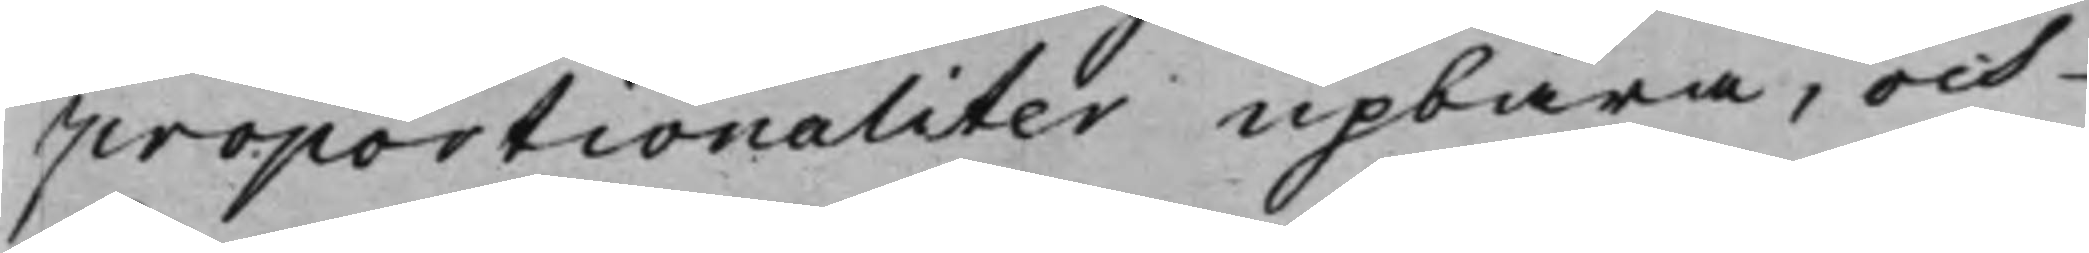proportionaliter upbära, och
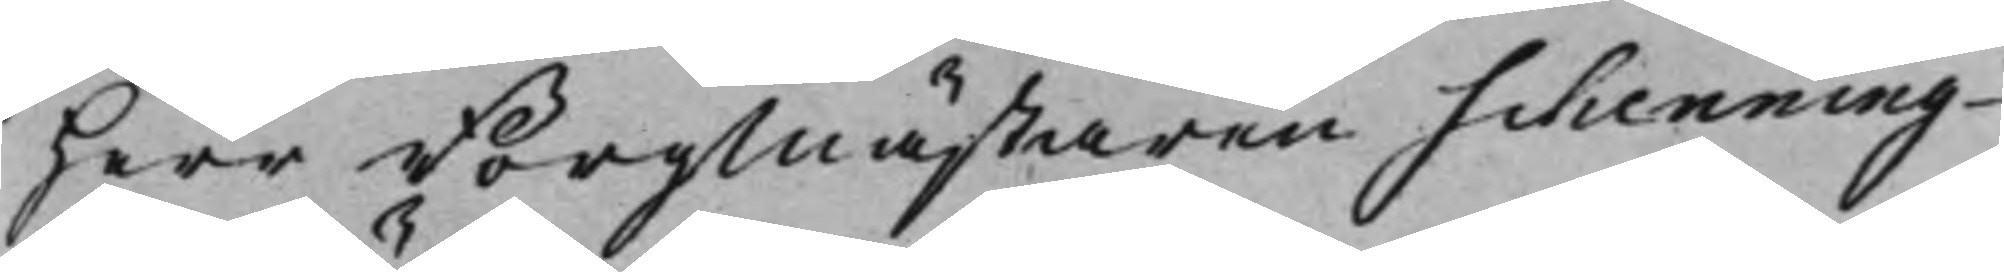Herr Borgmästaren Schenning
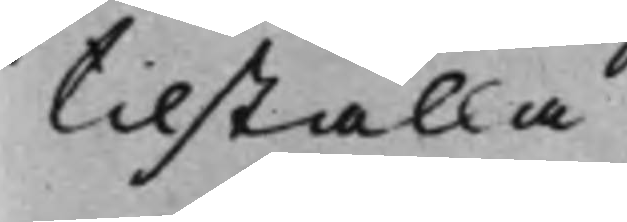tilställa.
